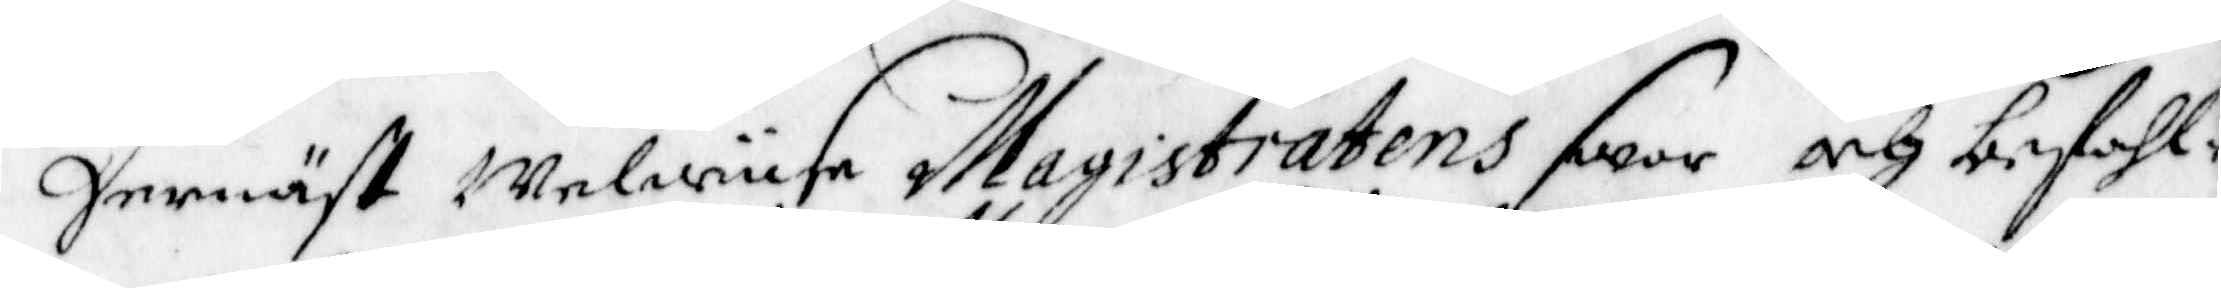Dernäst Welwyse Magistratens swar och befall¬
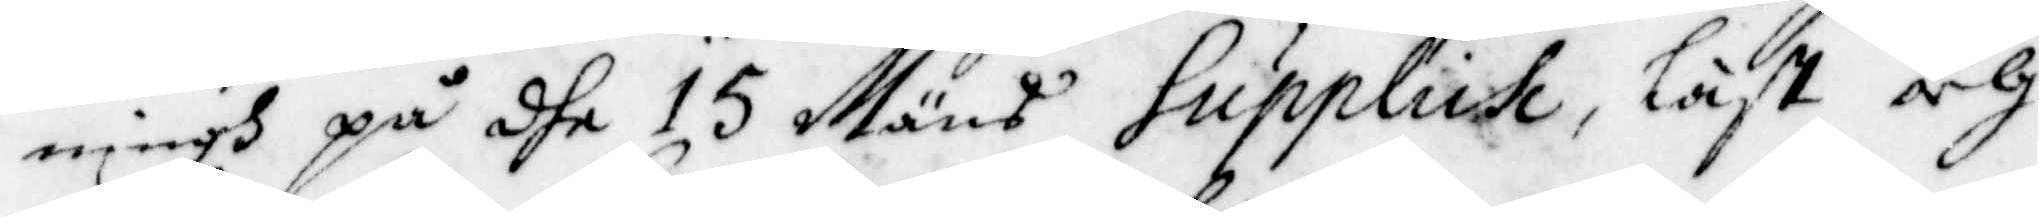ningh på dhe 15 Mäns Supplich, läst och
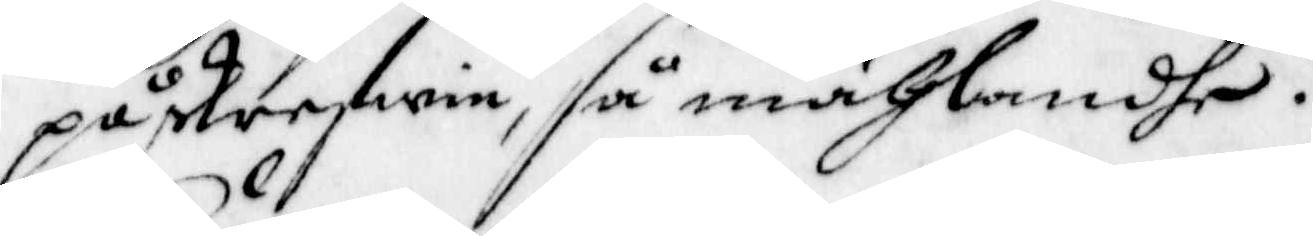påskriefwe, så mählandhe.
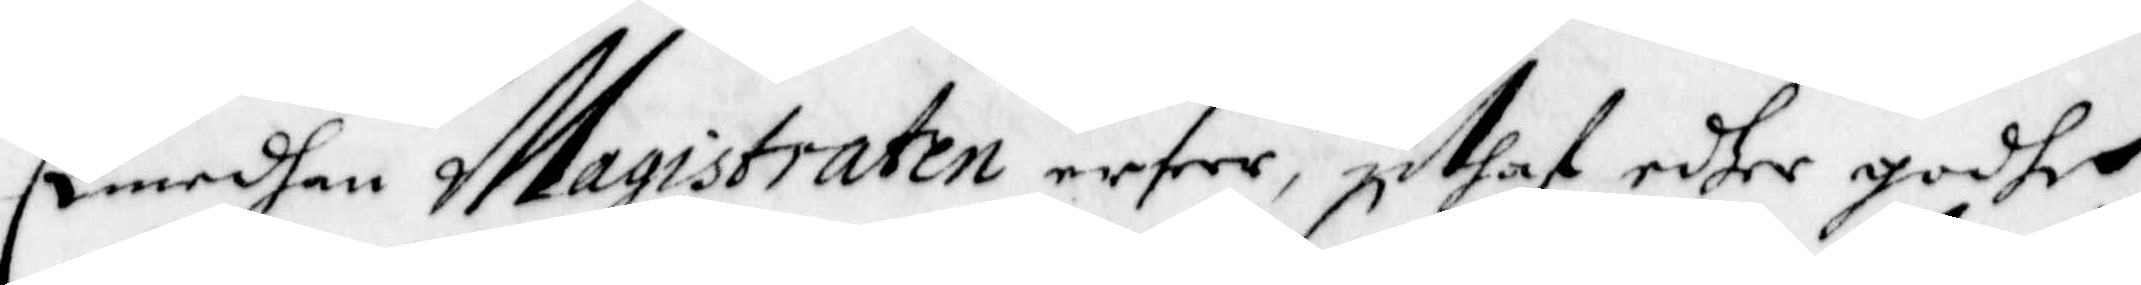Emedhan Magistraten erser uthaf edher godhe
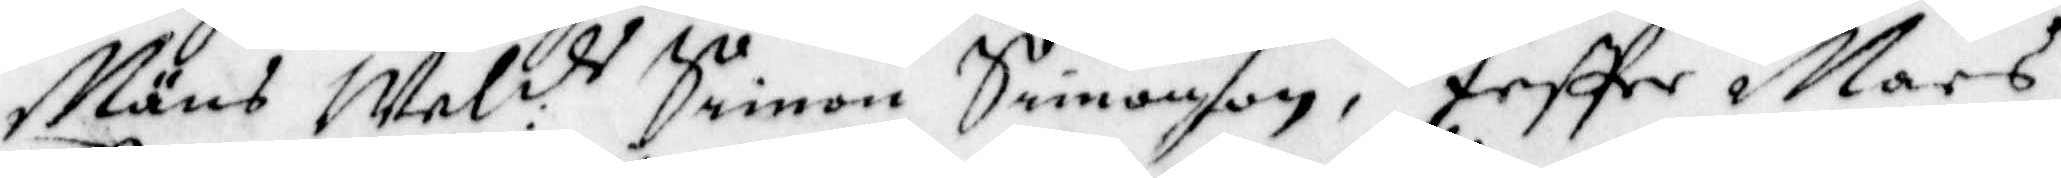Mäns Wel:de Simon Simonson, JesPer mars
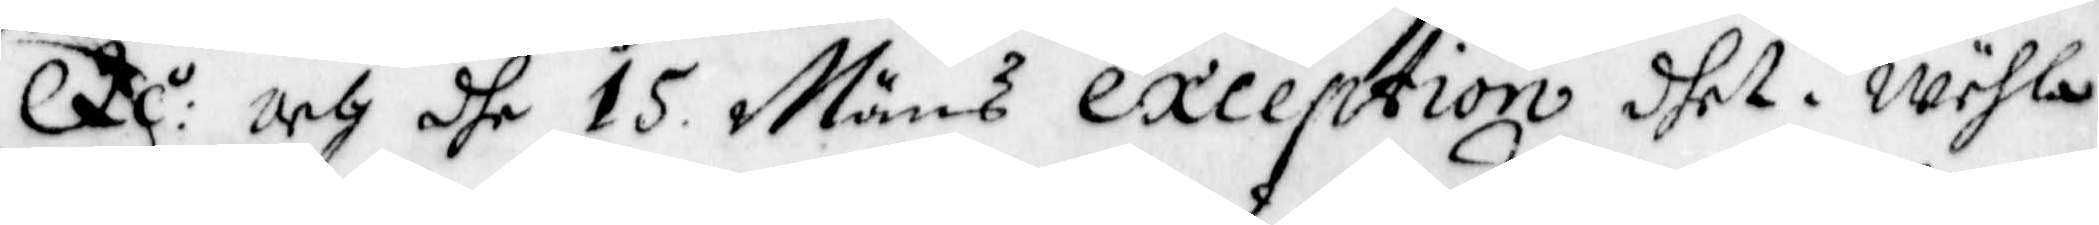Dc:o och dhe 15 Mäns exception dhet i Wähla
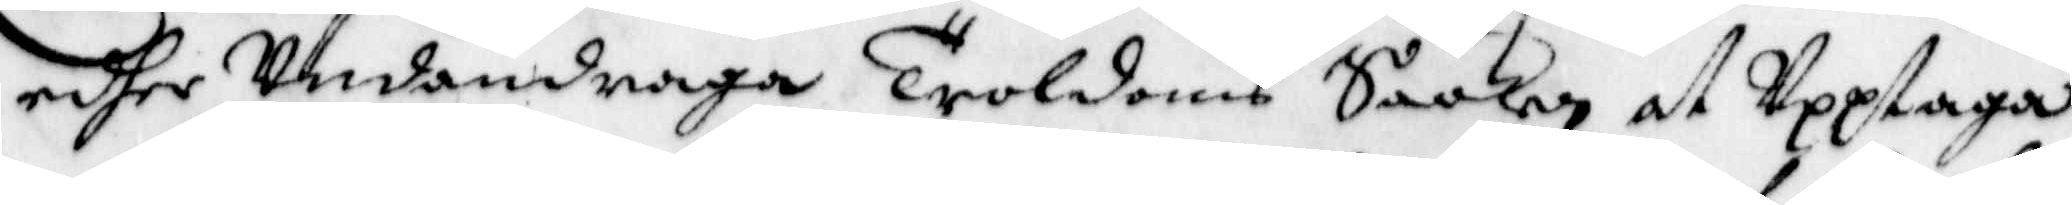edher Undandraga troldoms Saaken at Upptaga
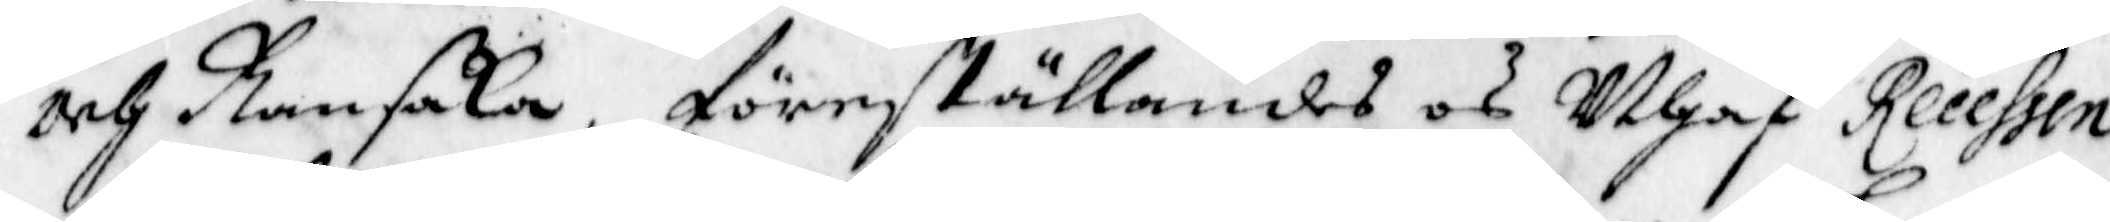och Ransaka, föreställandes och Uthaf Recessen
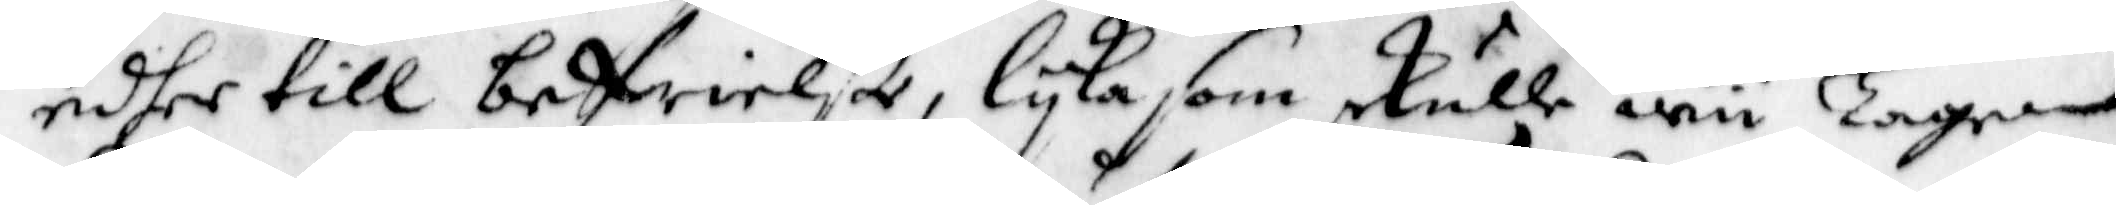edher till befrielße, lyka som skulle wii Laga
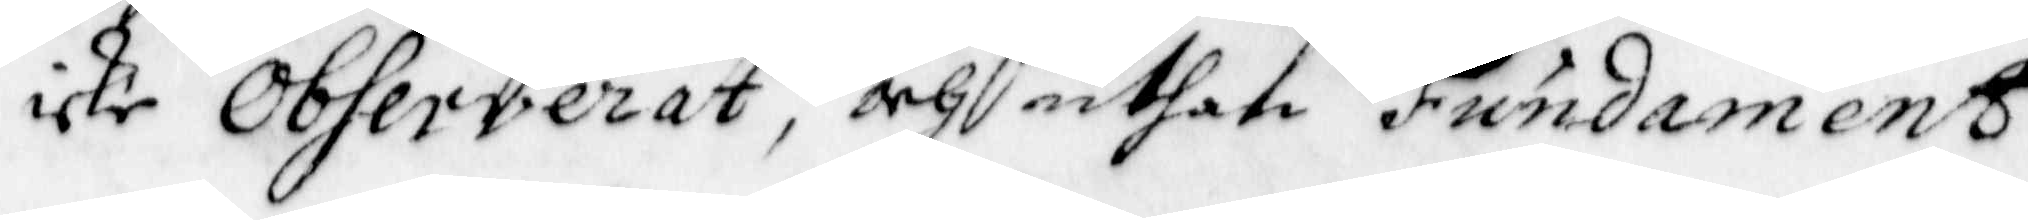icke Observerat, och uthan Fundaments
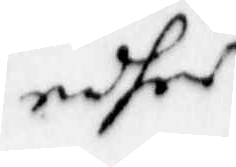edher
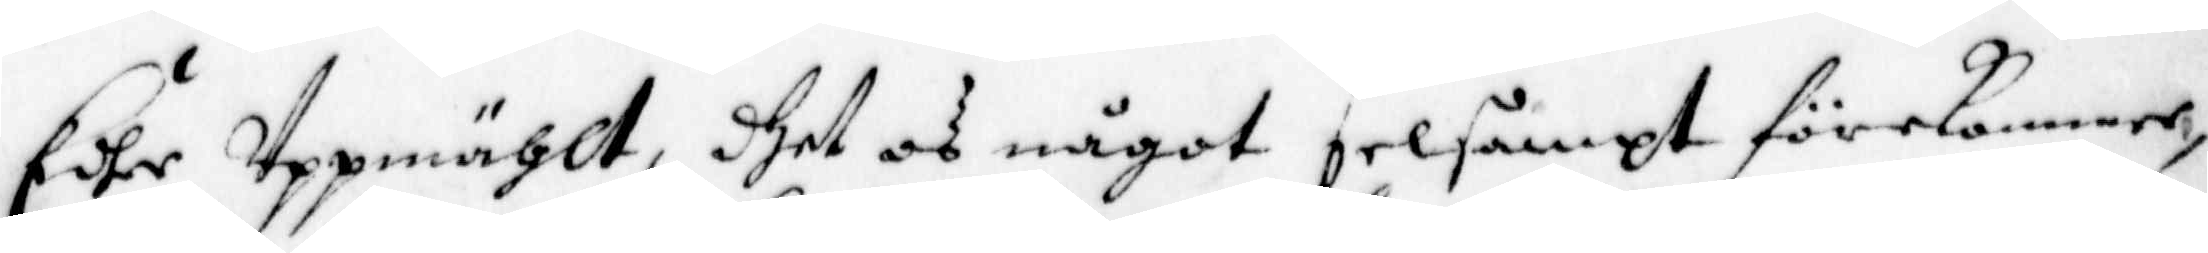Edhe Uppmählt, dhet os något selsampt förekommer,
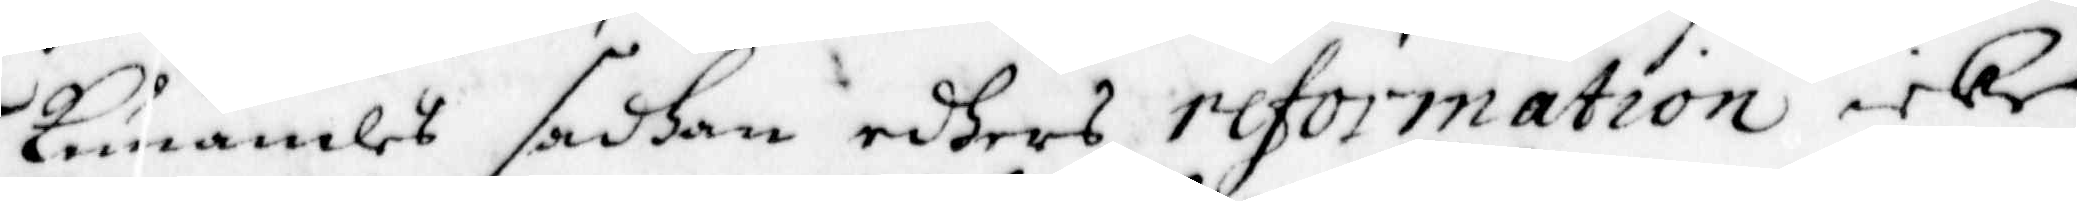kunandes sedhan edhers reformation icke
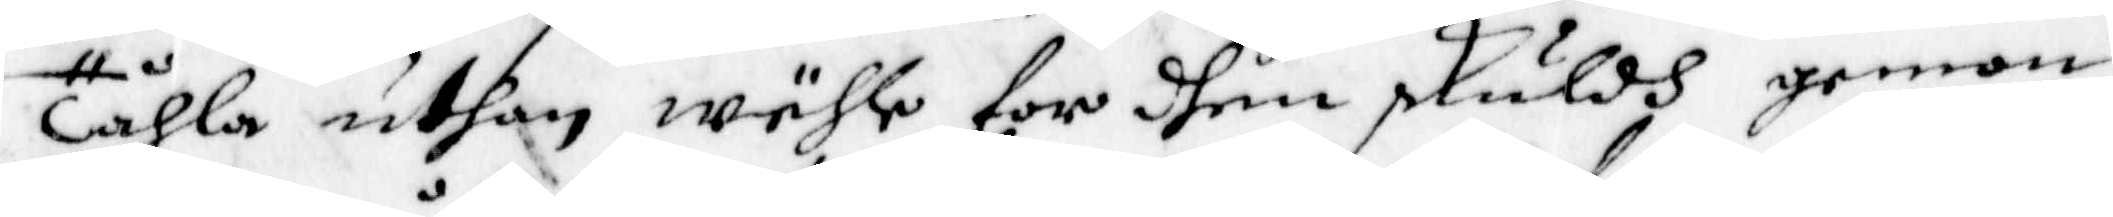Tåhla uthan wähle for dhen skuldh genom
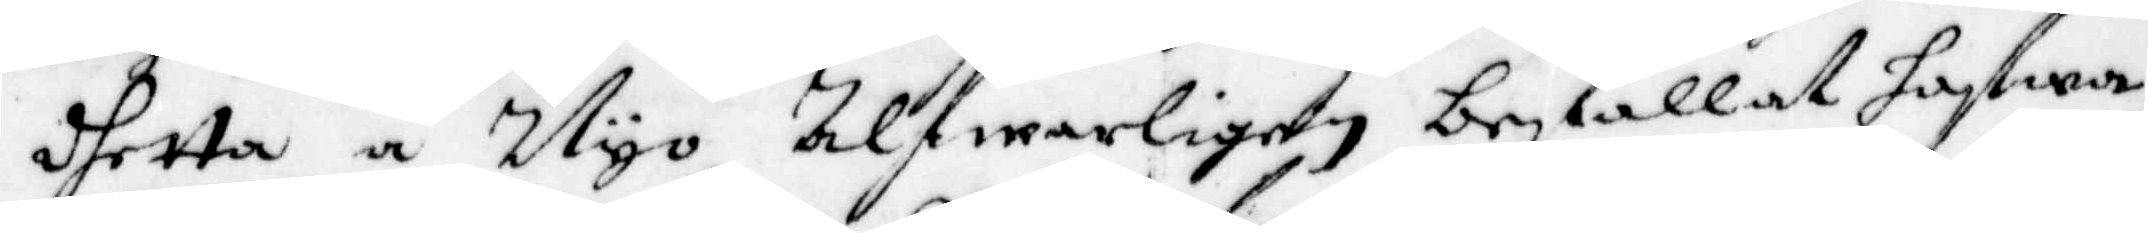dhetta å Nyo Alfwarligen befallat hafwa,
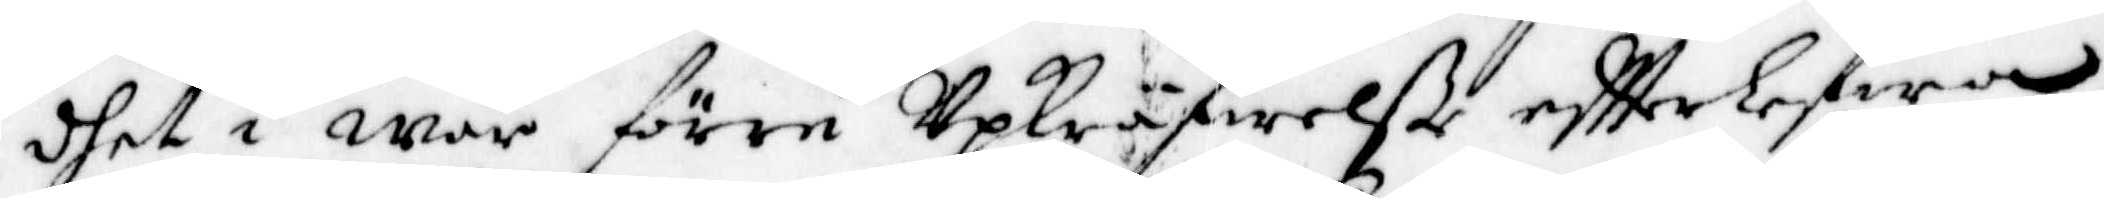dhet i wår förre Upkräfwelße eftterlefwa,
